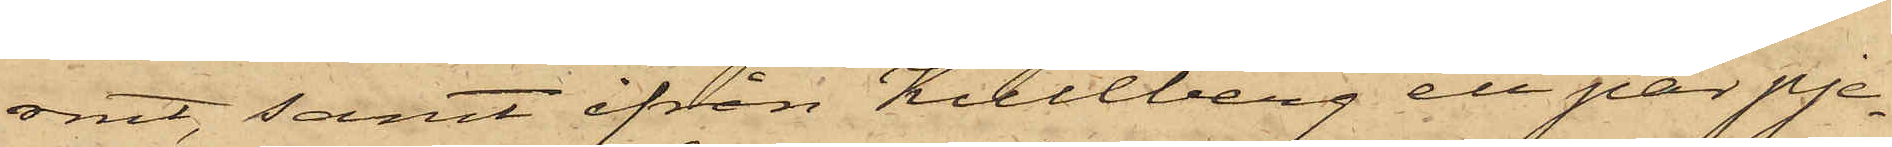rmt, samt ifrån Kullberg ett par pje¬
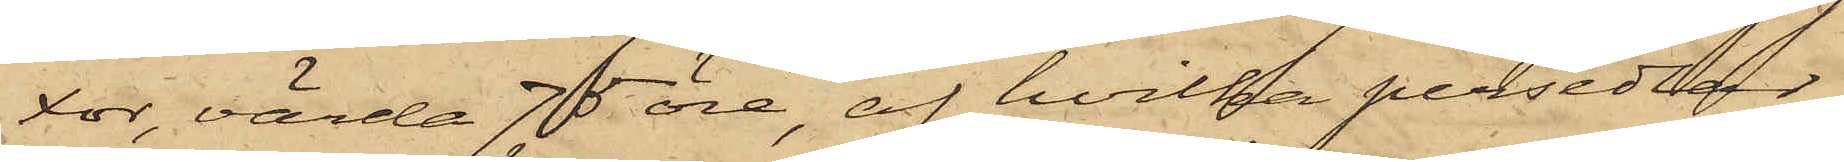xor, värda 75 öre, af hvilka persedlar
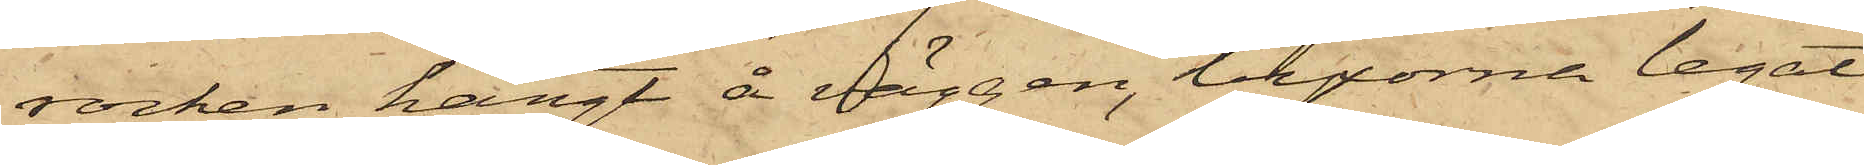rocken hängt å väggen, byxorna legat
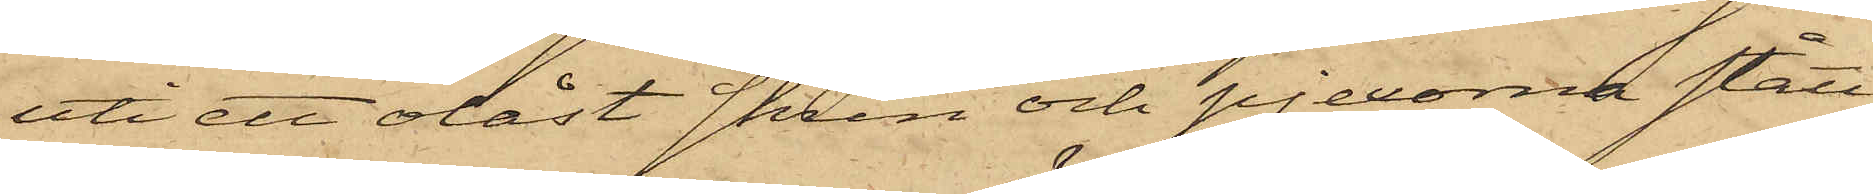uti ett olåst skrin och pjexorna stått
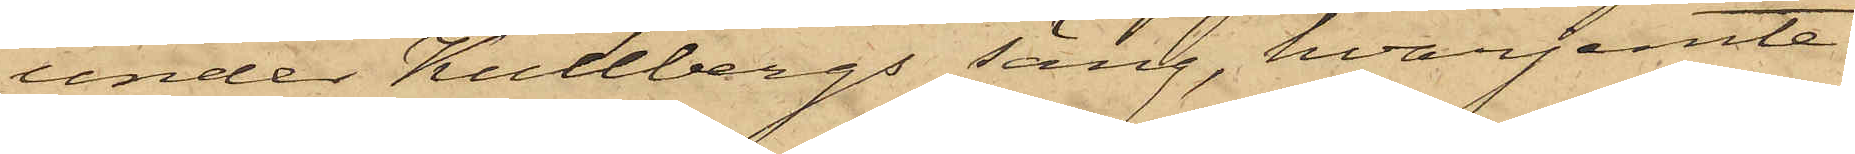under Kullbergs säng, hvarjemte
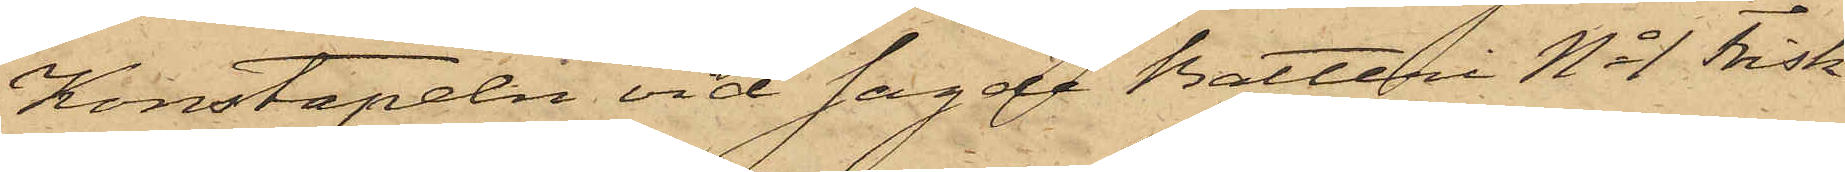Konstapeln vid sagde Batteri No 1 Frisk
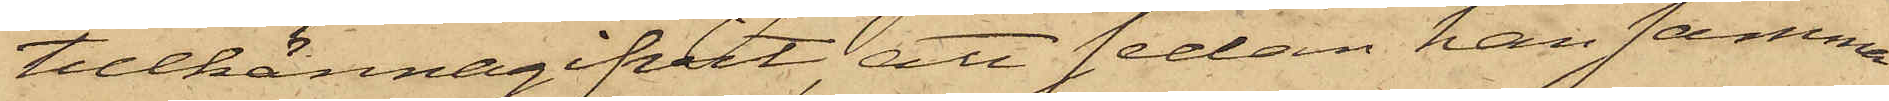tillkännagifvit, att sedan han samma
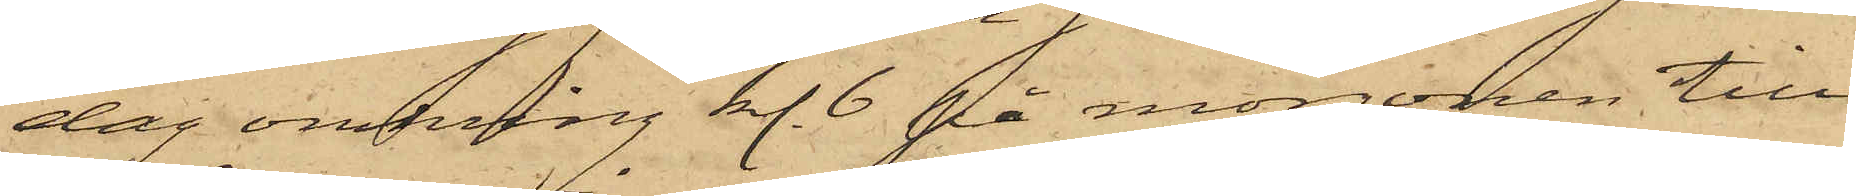dag omkring kl. 6 på morgonen till
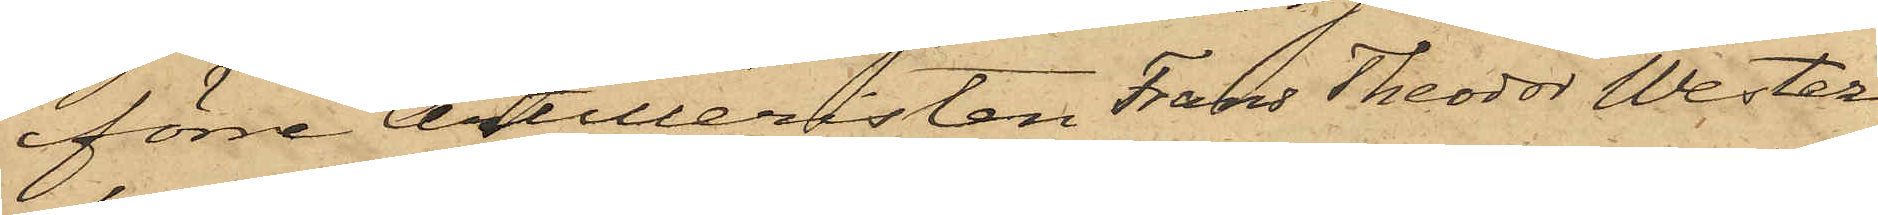förre Artilleristen Frans Theodor Wester¬
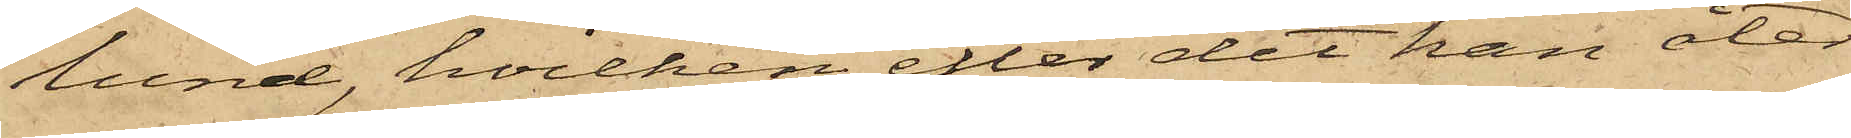lund, hvilken, efter det han åter¬
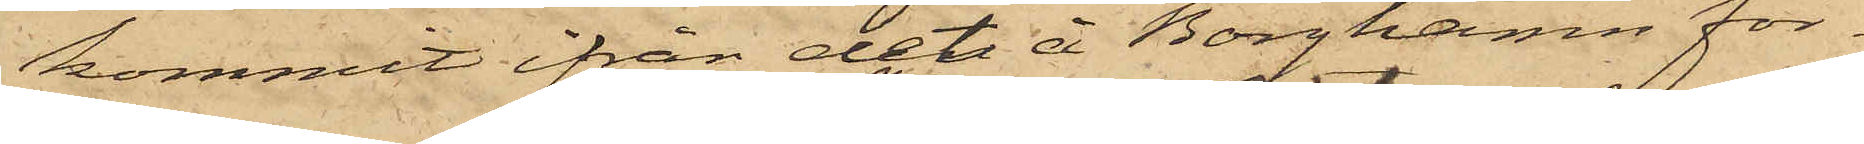kommit ifrån det å Borghamn för¬
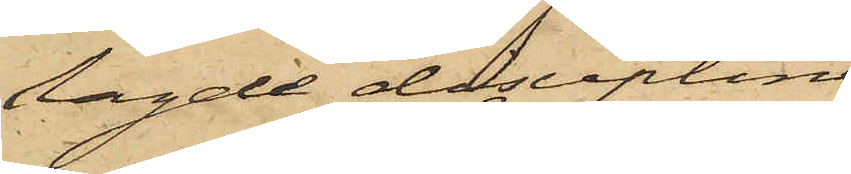lagde disciplin¬
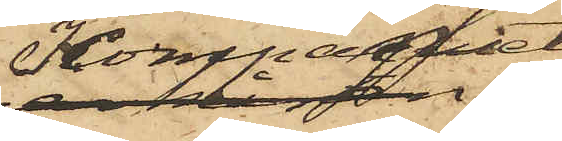Kompaniet,
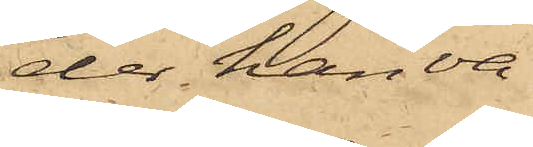der han va¬
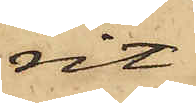rit
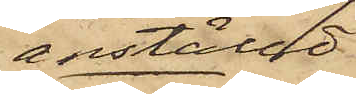anställd,
